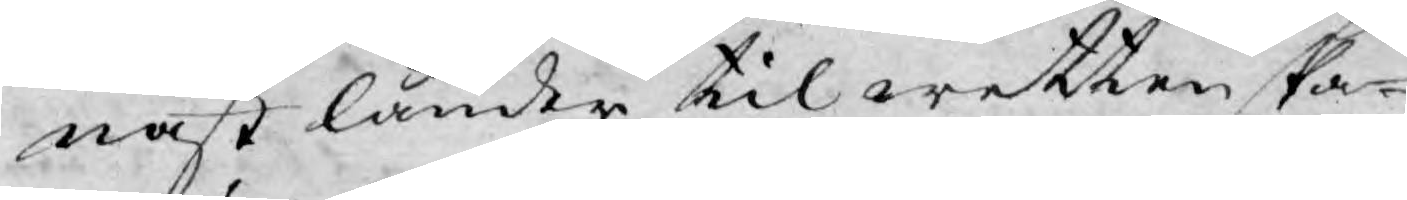nast länder til wettenska¬
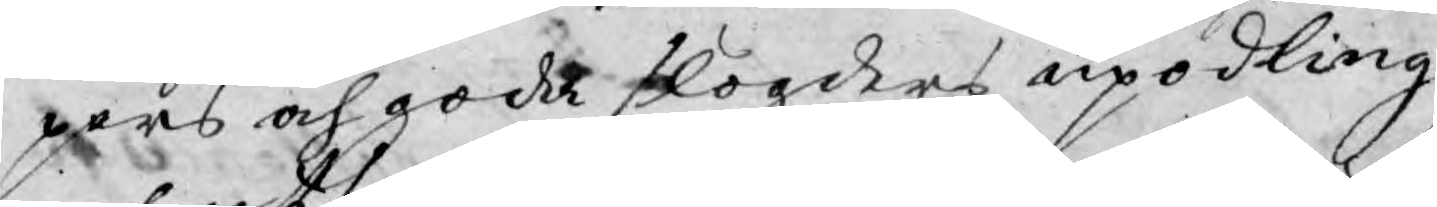pers och goda slögders upodling
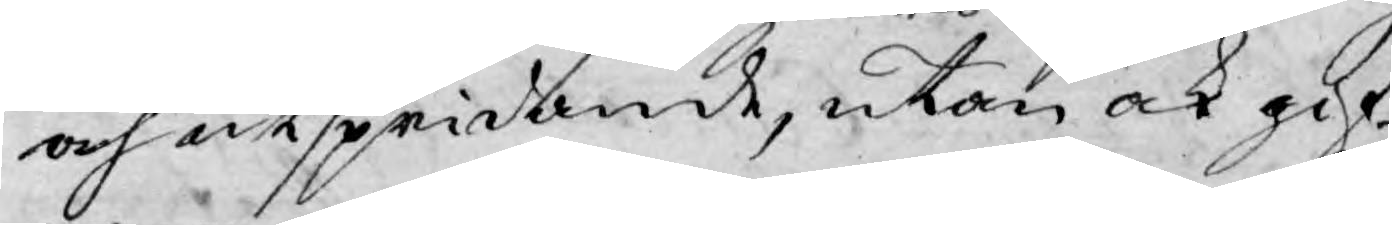och utspridande, utan ock gif¬
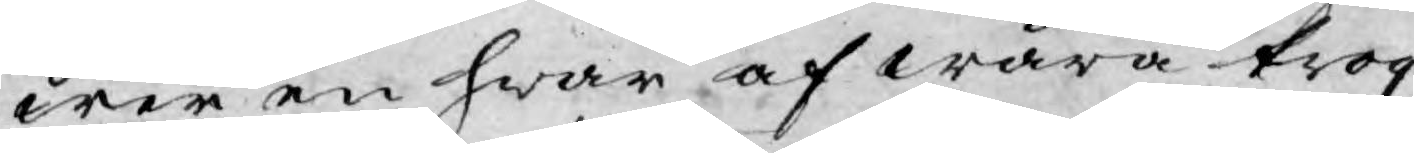wer en hwar af wåra trog¬
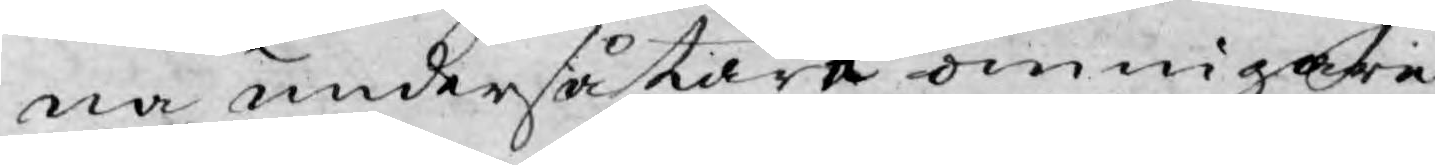na undersåtare ömnigare
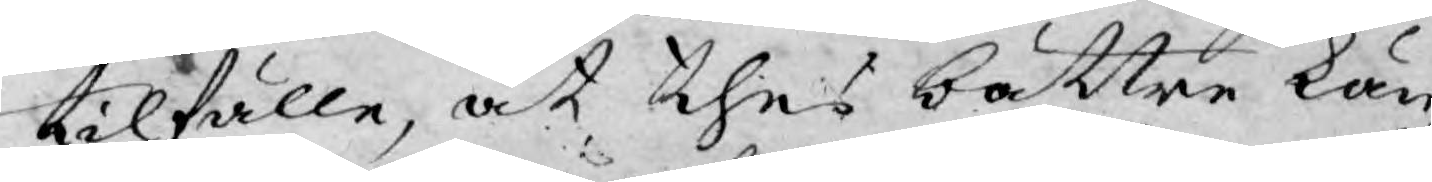tilfälle, at thes bättre kän¬
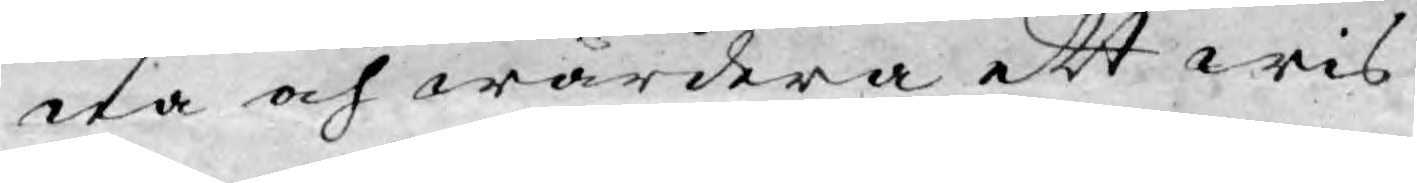na och wärdera ett wis¬
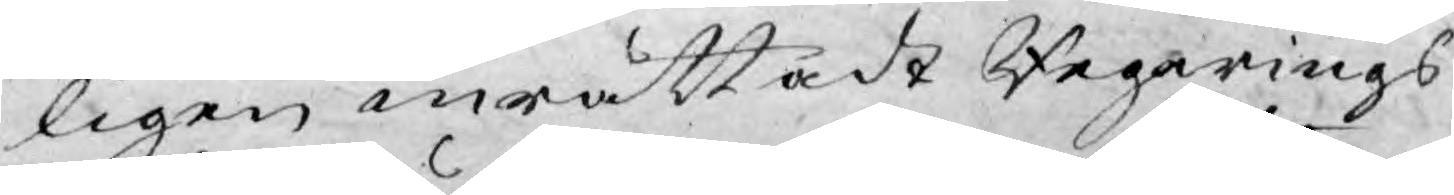ligen inrättadt Regerings
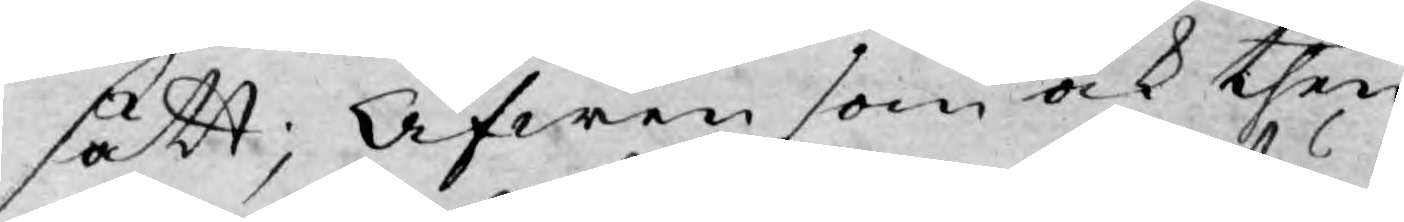sätt; Äfwen som ock then¬
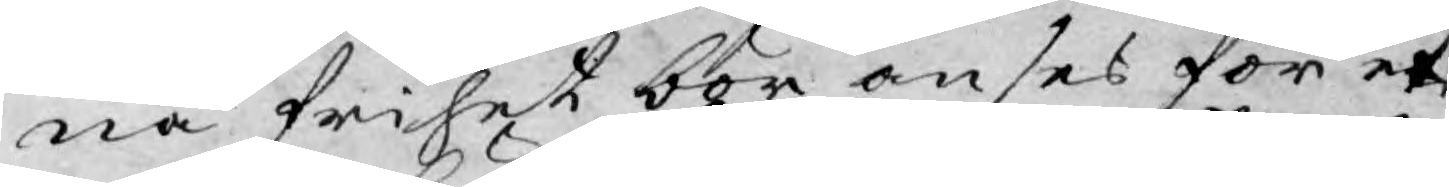na frihet bör anses för et
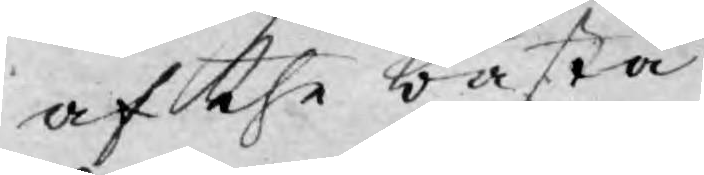af the bästa
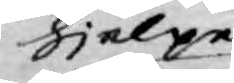hjelpe
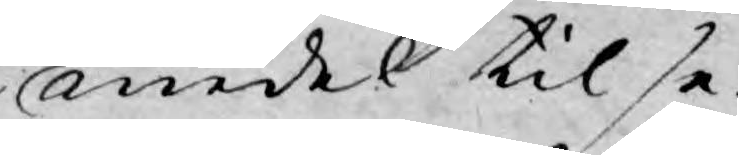medel til se¬
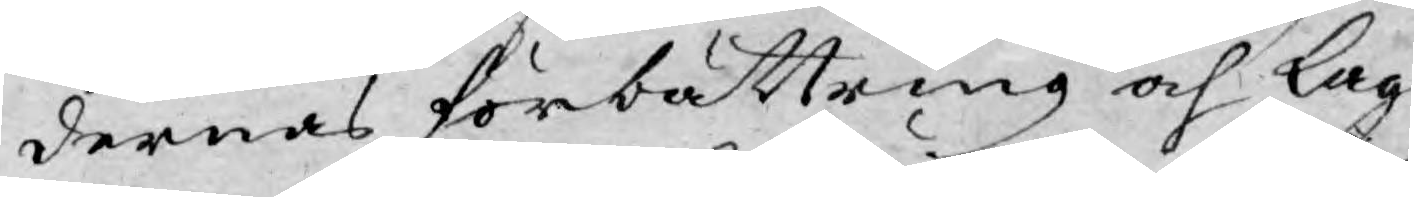dernas förbättring och Lag¬
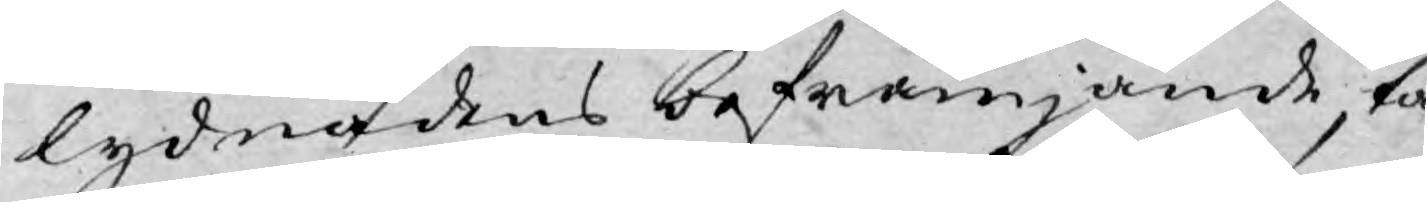lydnadens befrämjande, tå
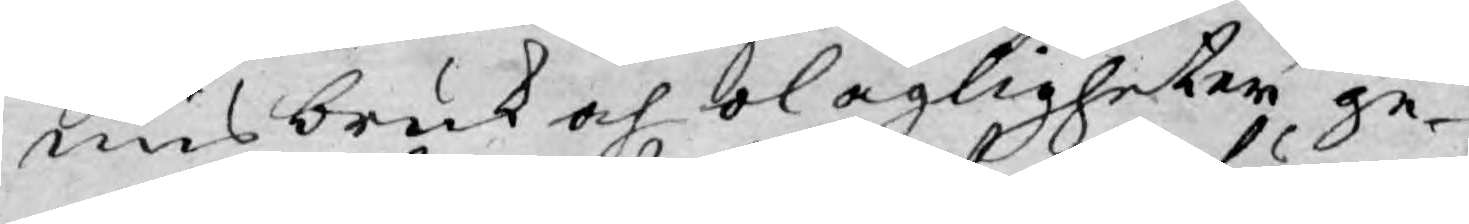misbruk och olagligheter ge¬
